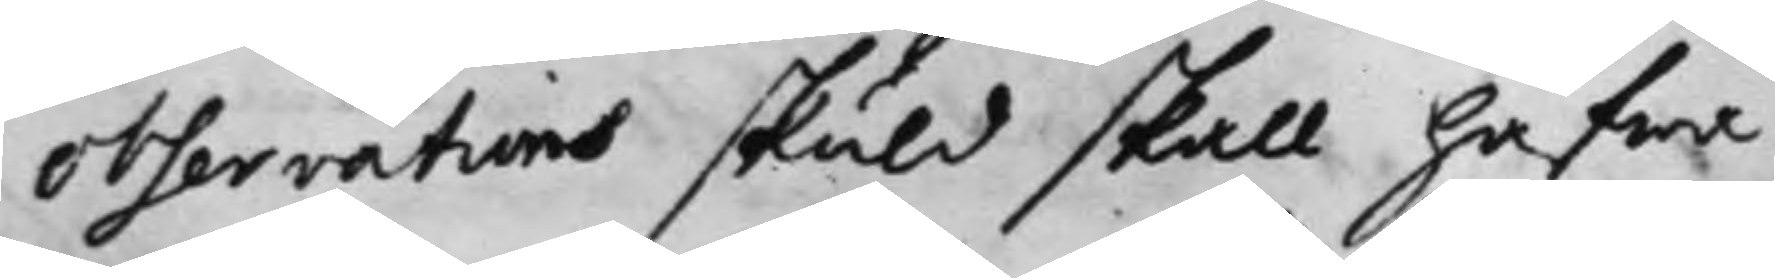observations skuld skall hafwa
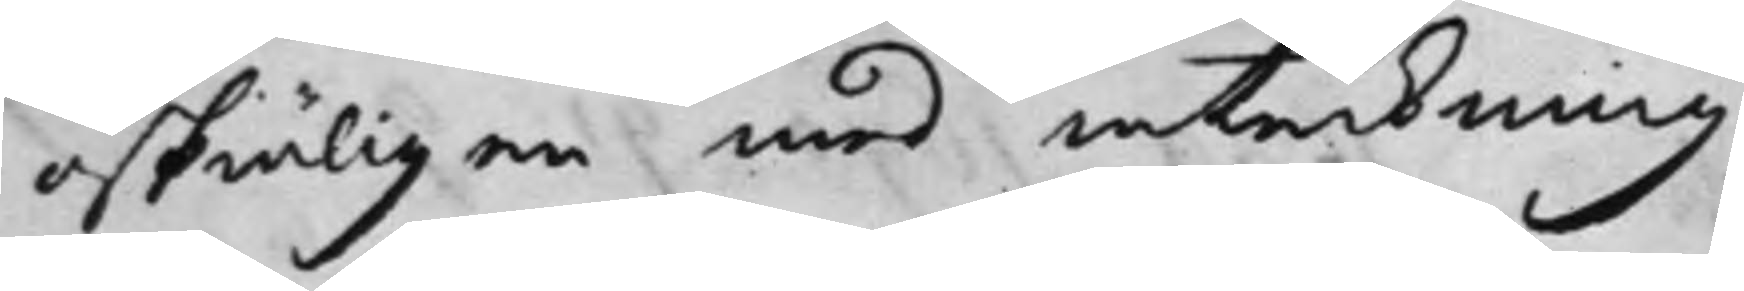oskiäligen med inteckning
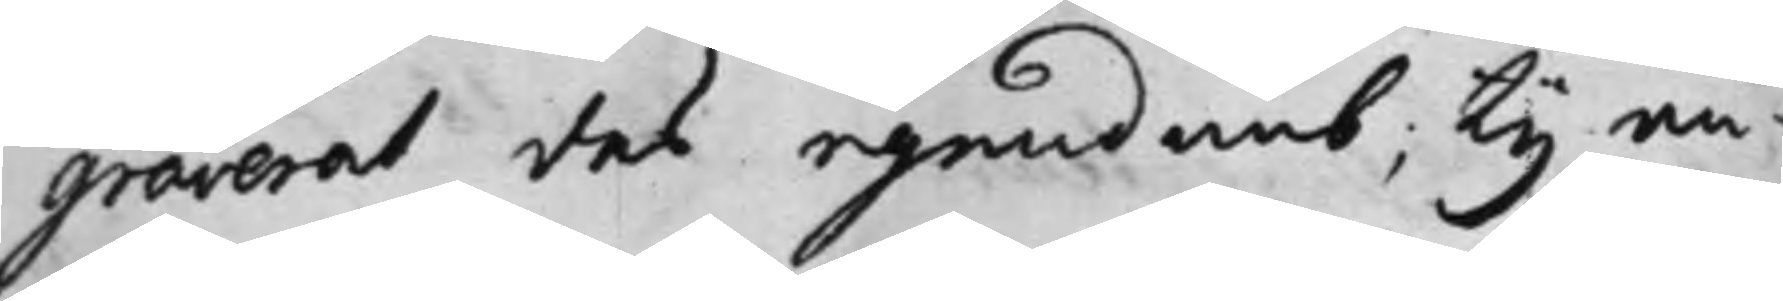graverat des egendomb; Ty an¬
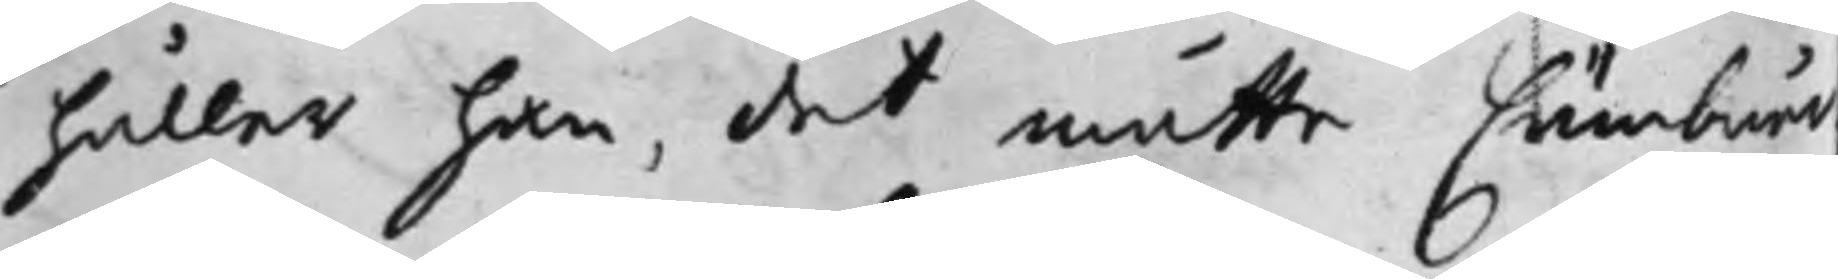håller han, det måtte Cämbnär
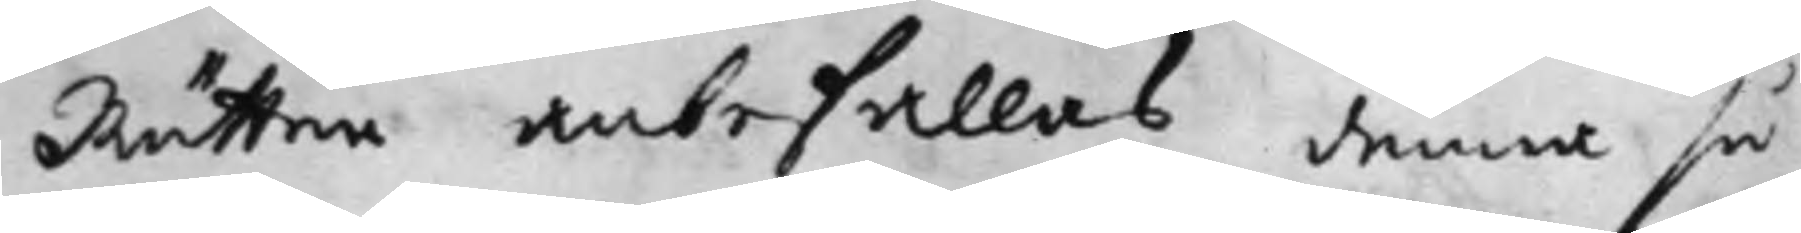Rätten anbefallas denna så
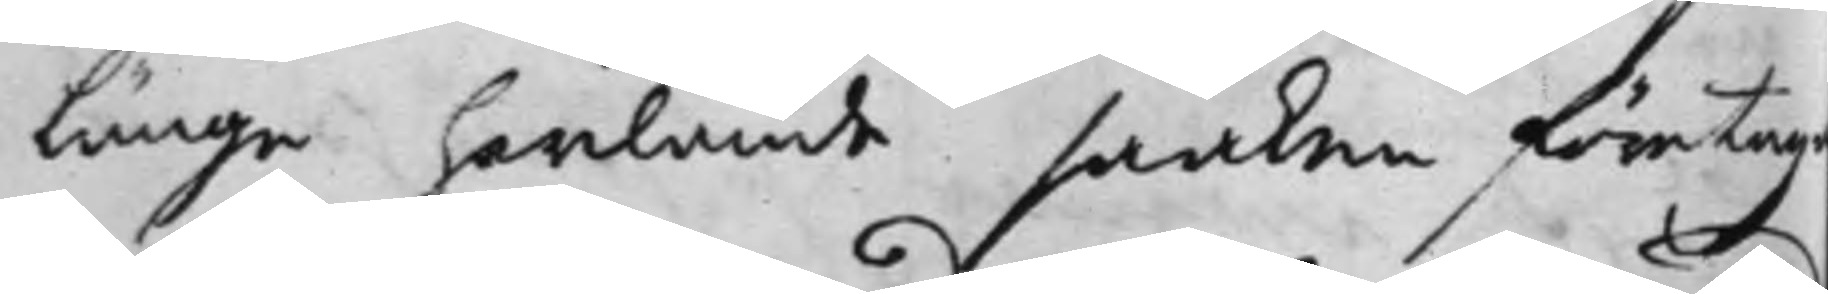länge hwilande saaken företag
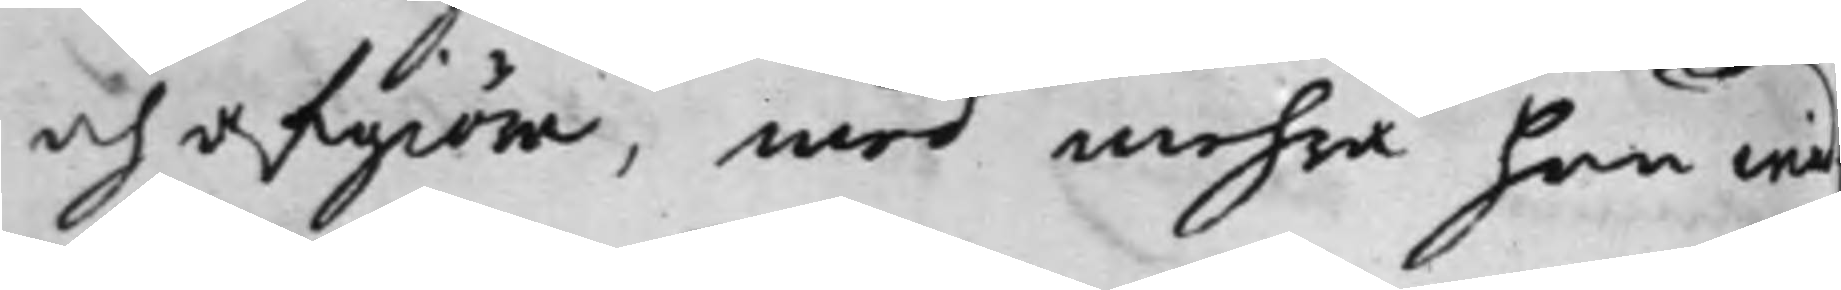och afgiöra, med mehra han wid¬
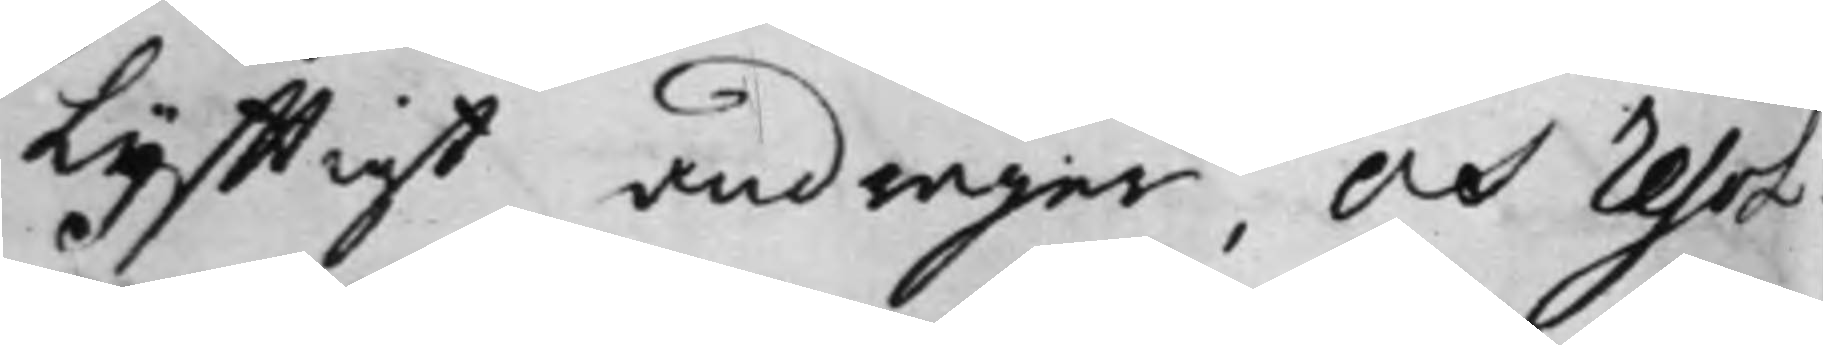lyfftigt andrager, Och Resol¬
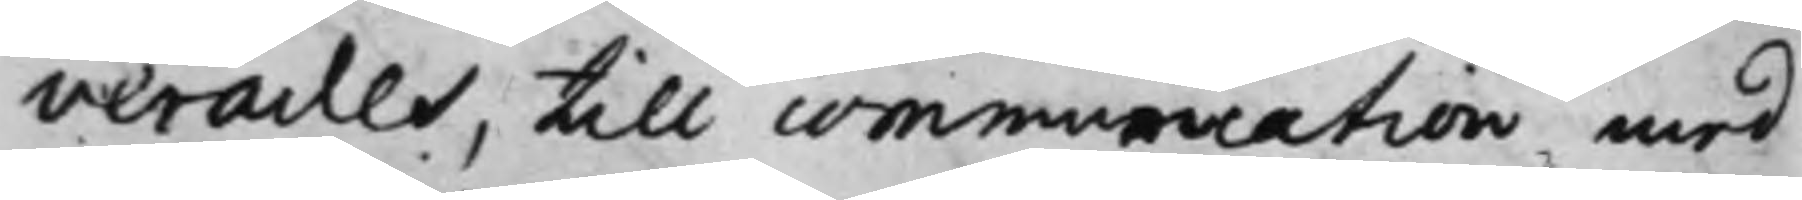verades, till communication med
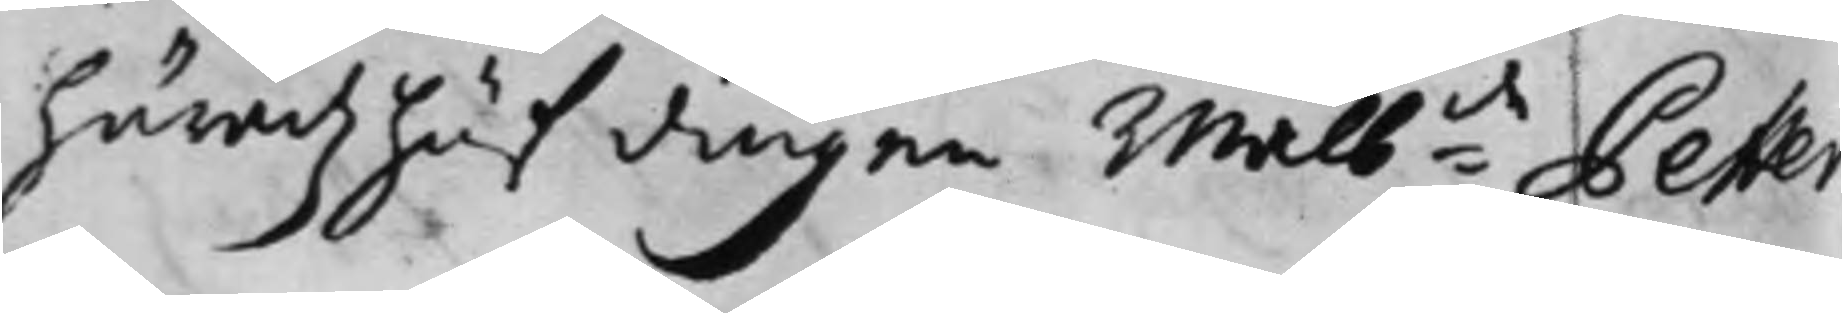häradz höfdingen Wälb:de Petter
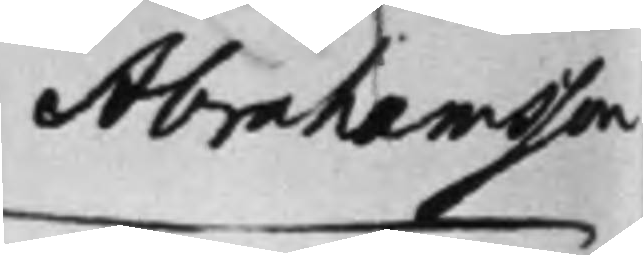Abrahamsson
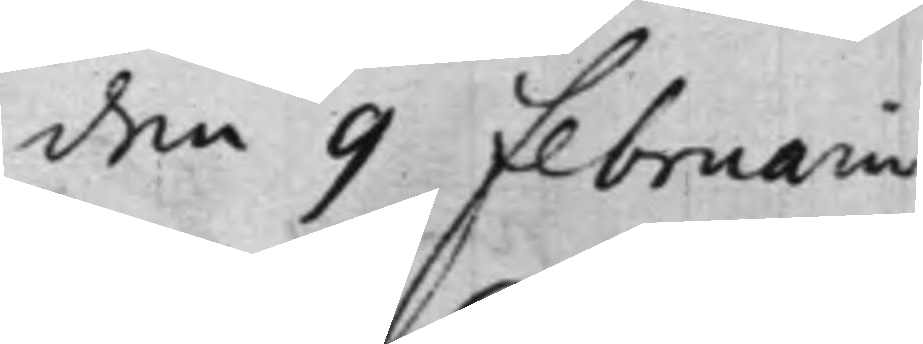den 9 Februarii
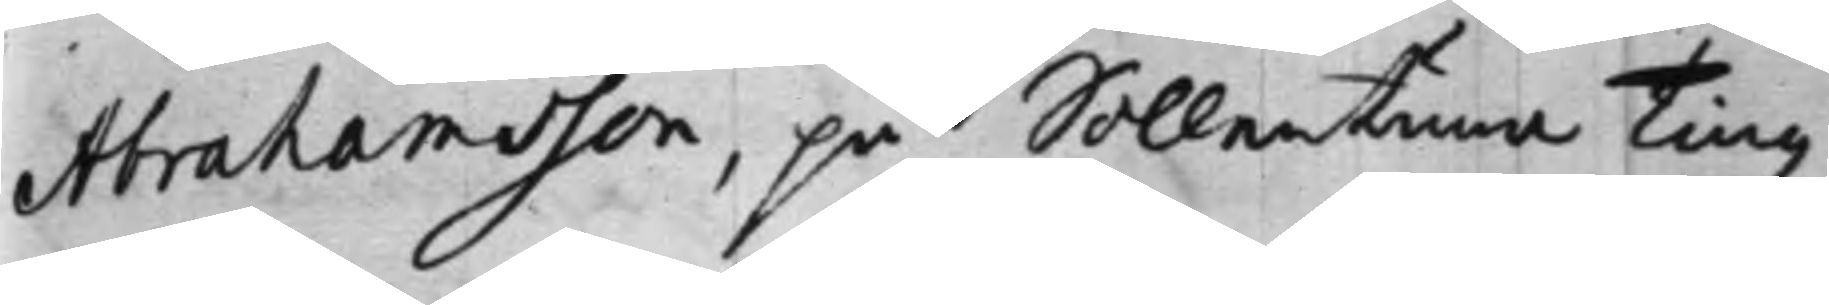Abrahamsson, på Sollentuna Tingz¬
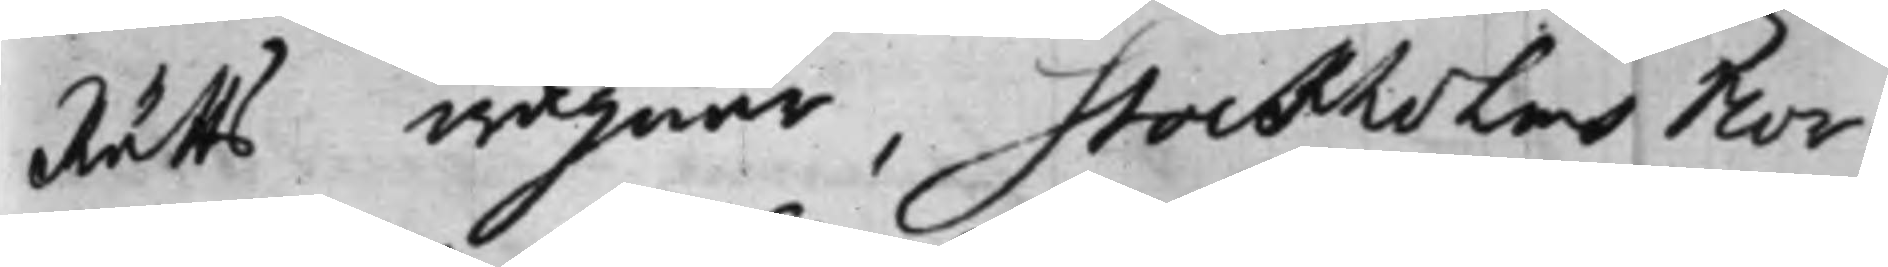rätts wägnar, Stockholms Nor¬
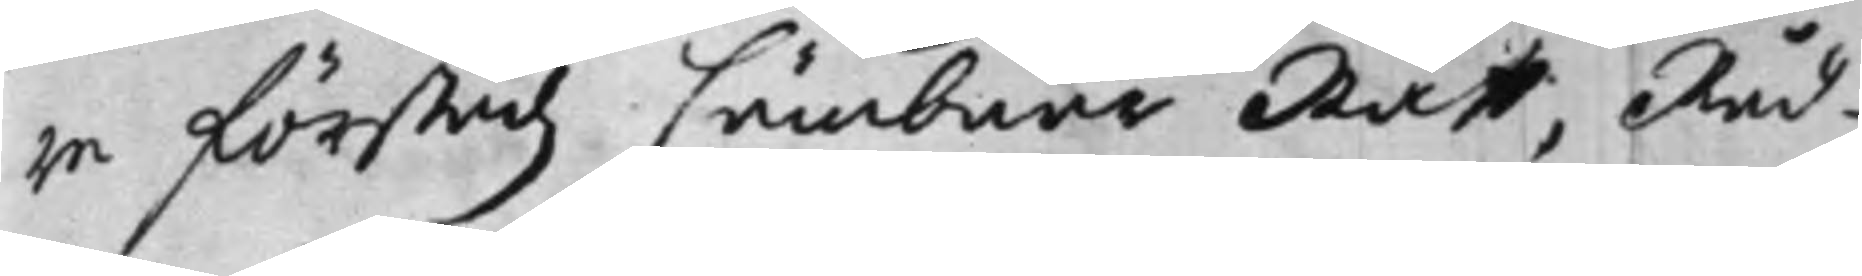ra förstadz Cämbnär Rätt, Råd¬
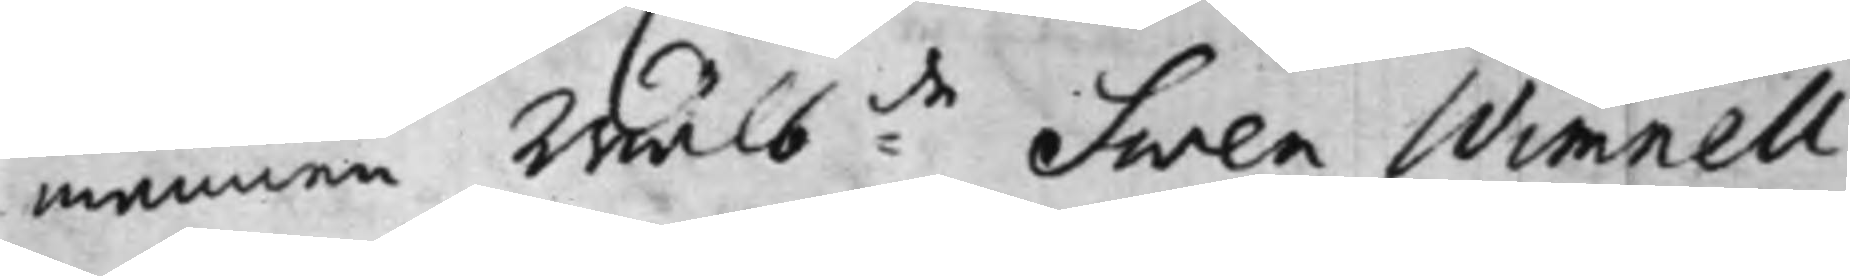mannen Wälb:de Sven Wimnell,
